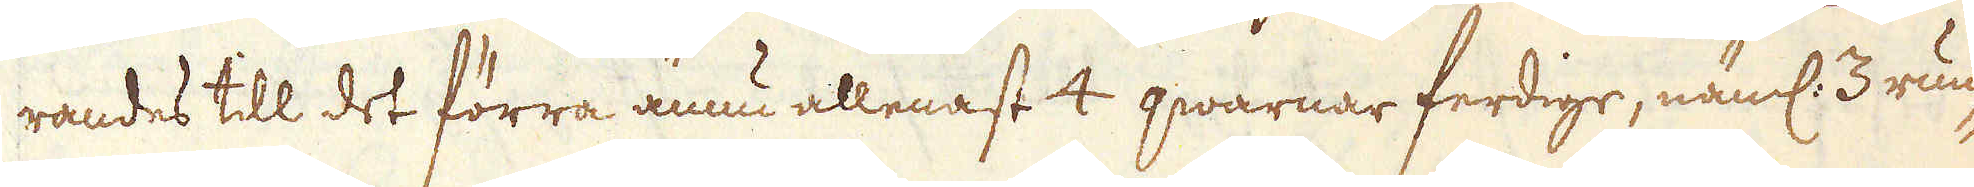randes till det förra ännuu allenast 4 qwarnar ferdige, näml: 3 run-
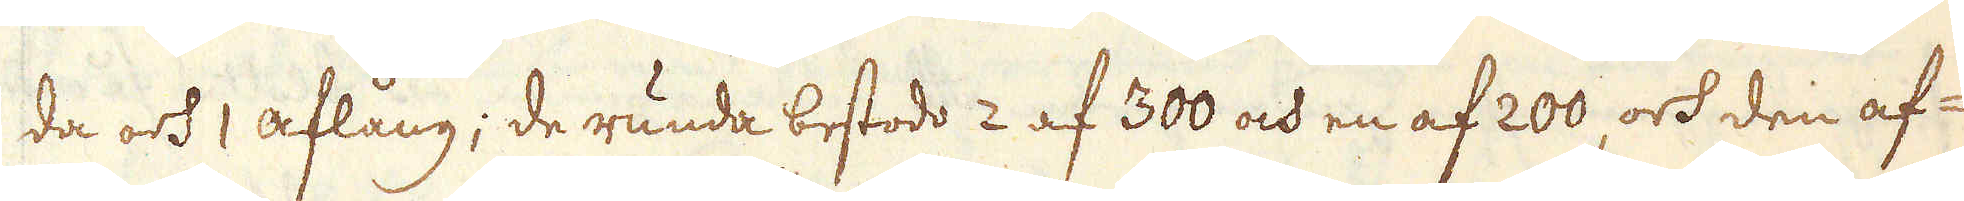da och 1 aflång; de runda bestodo 2 af 300 och en af 200, och den af-
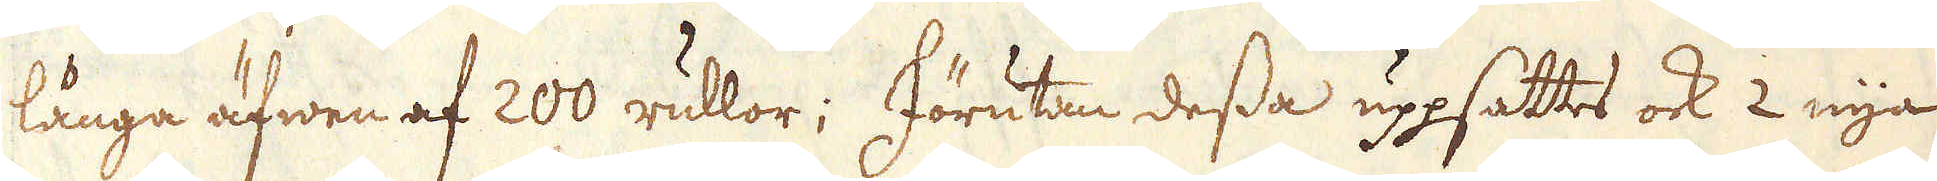långa äfwen af 200 rullor; Förutan dessa uppsattes ock 2 nya
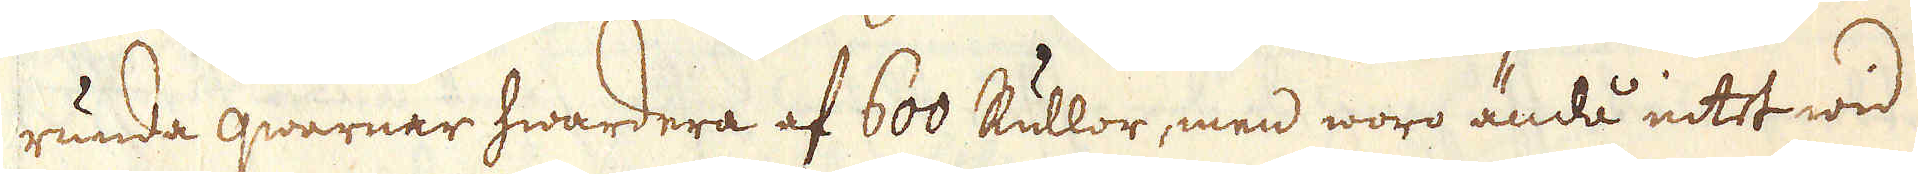runda qwarnar hwardera af 600 Rullor, men woro ändå intet wid
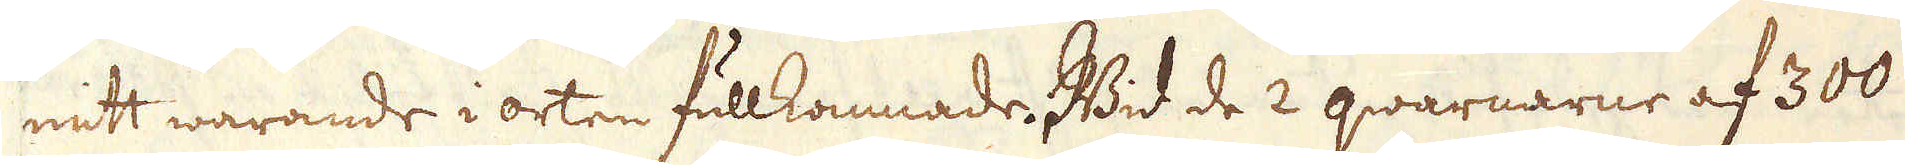mitt warande i orten fullkomnade. Wid de 2 qwarnarne af 300
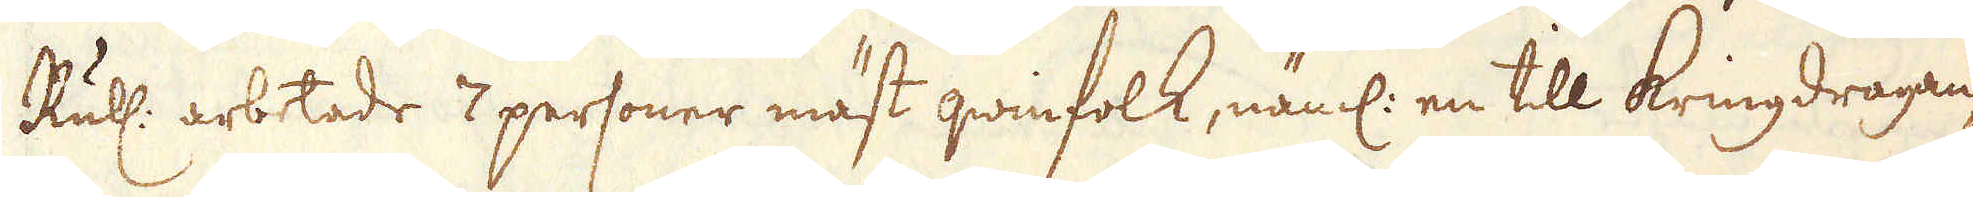Ruhl: arbetade 7 personer mäst qwinfolk, näml: en till kringdragan-
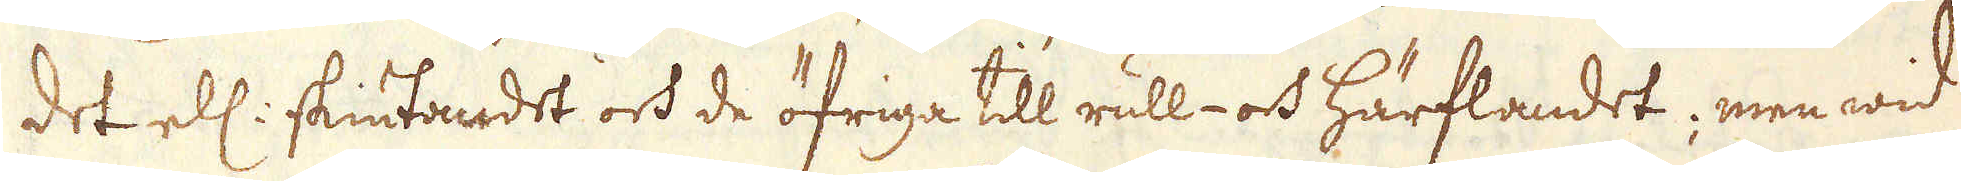det ell: skiutandet och de öfriga till rull- och härflandet; men wid
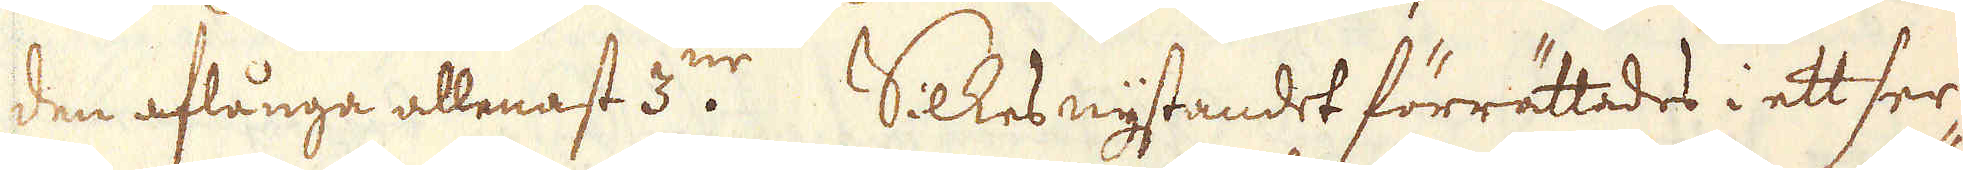den aflånga allenast 3:ne. Silkesnystandet förrättades i ett ser-
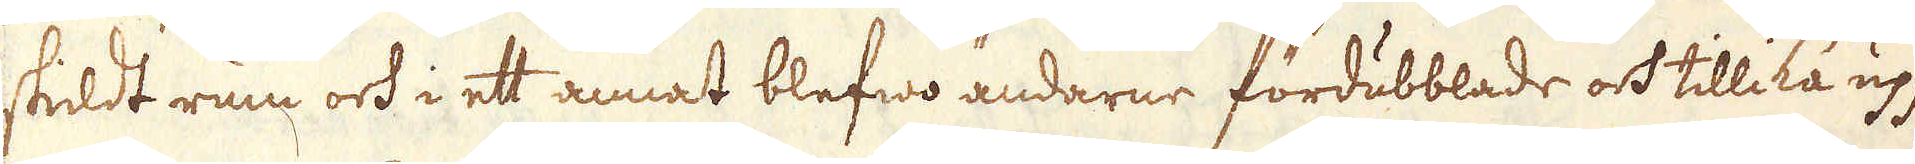skildt rum och i ett annat blefwo ändarne fördubblade och tillika upp-
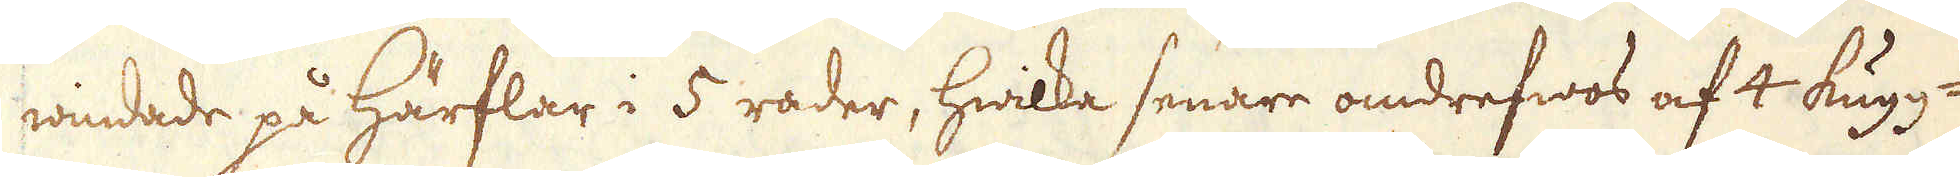windade på härflar i 5 rader, hwilka senare omdrefwos af 4 kugg-
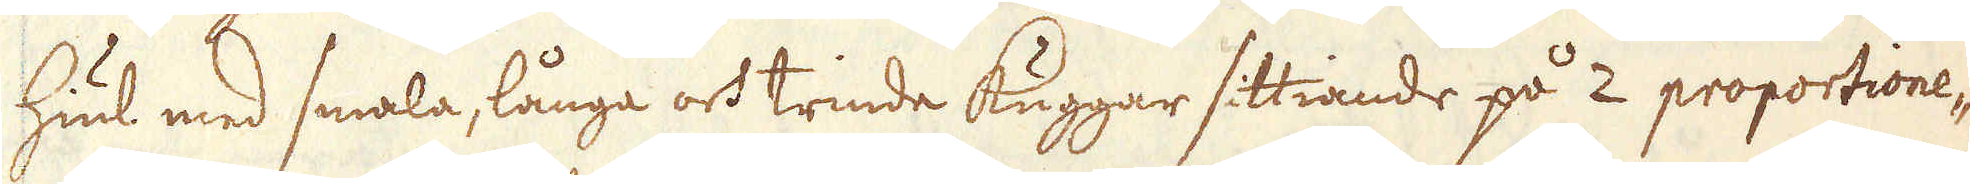hiul med smala, långa och trinde kuggar sittiande på 2 proportione-
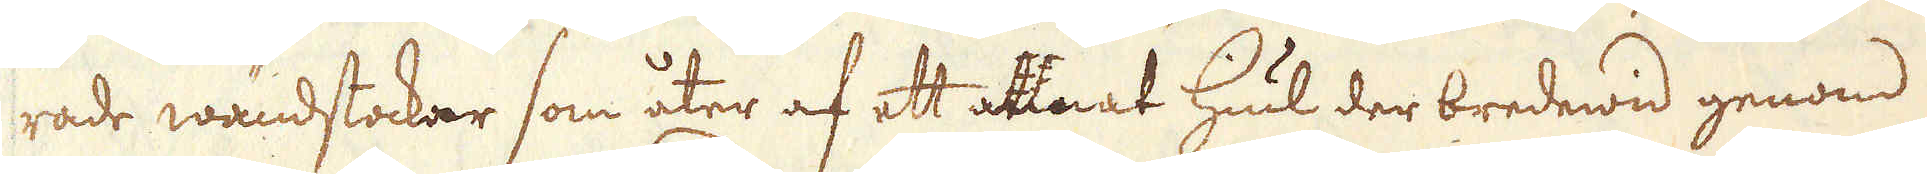rade wändstockar som åter af ett annat hiul der bredewid genom
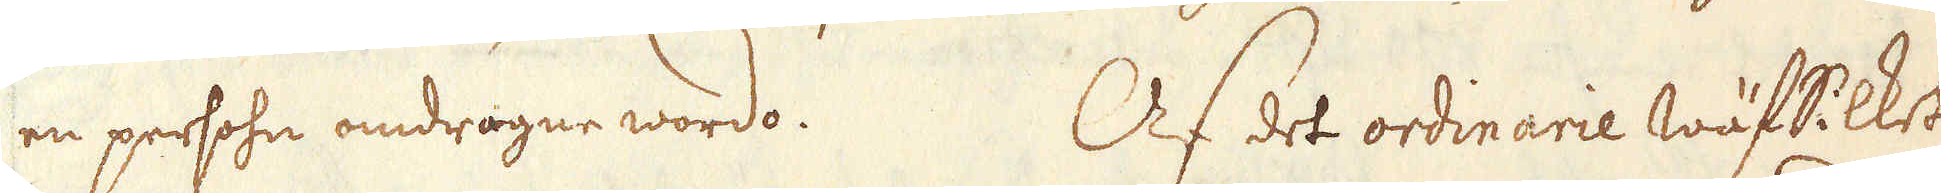en persohn omdragne wordo. Af det ordinarie wäfSilket
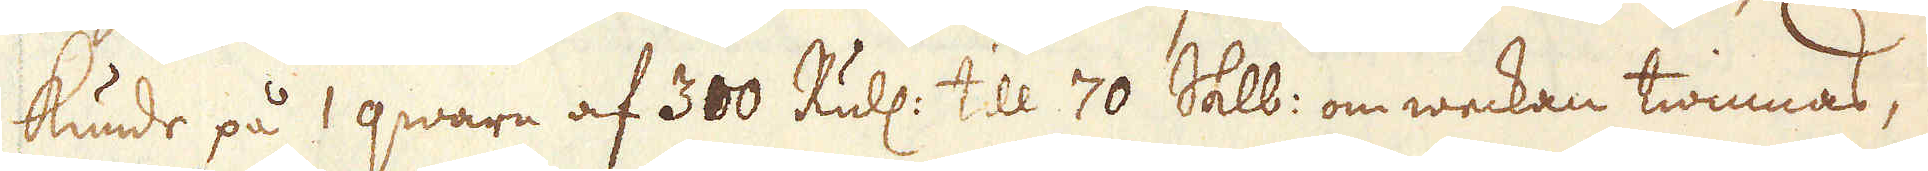kunde på 1 qwarn af 300 Rudl: till 70 Salb: om weckan twinnas,
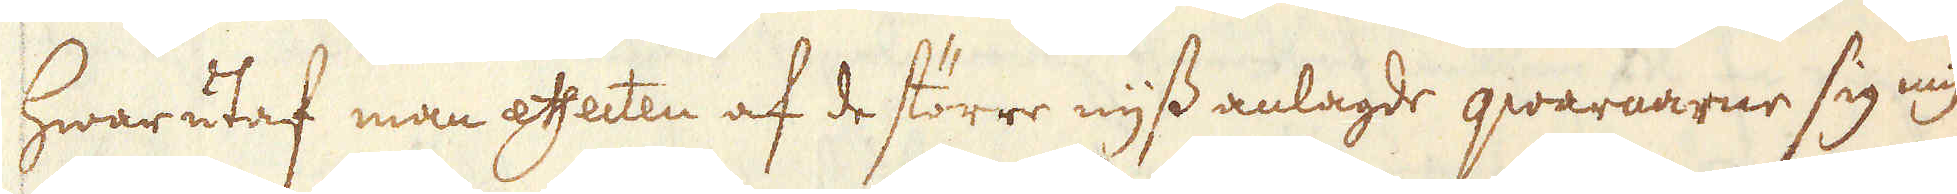hwarutaf man effecten af de större nyss anlagde qwarnarne sig myc-
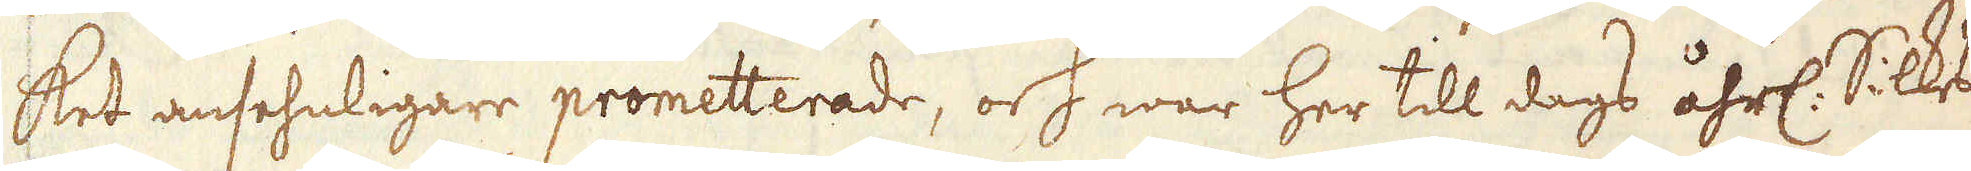ket ansehnligare prometterade, och war her till dags åhrl. Silkes-
